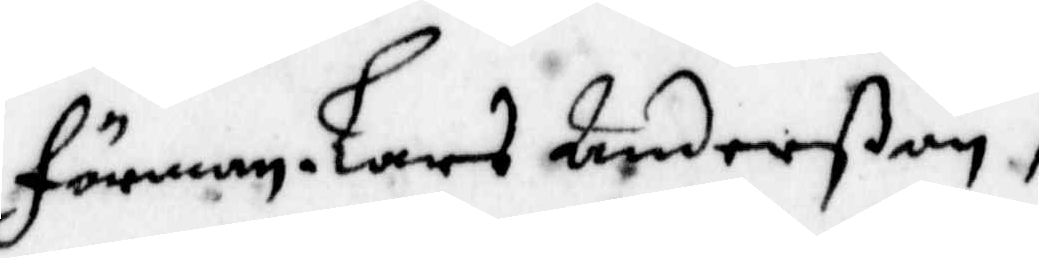Förman. lars Anderßon,
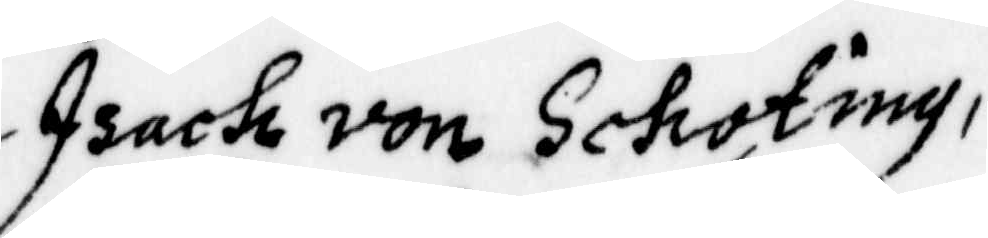Isach von Schoting,
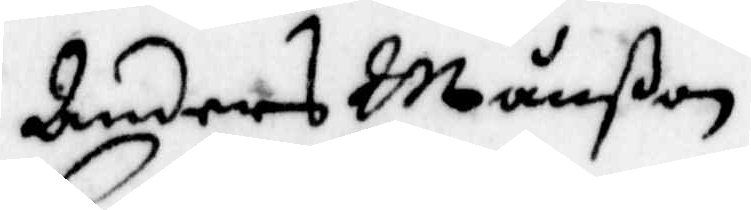Anders Månßon, 
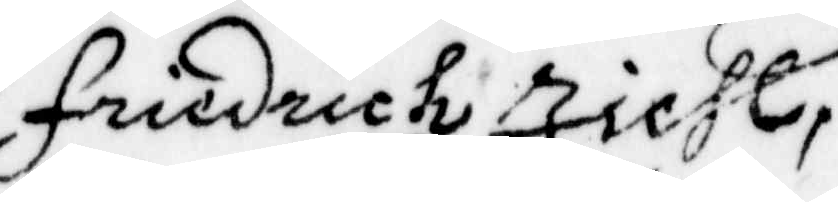Friedrich Zichl,
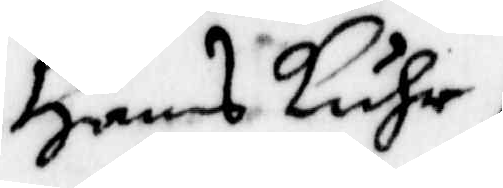Hans Luhr,
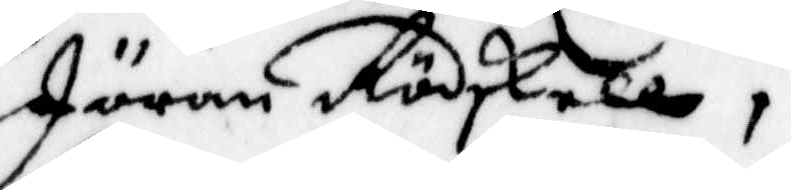Jöran Rödskell,
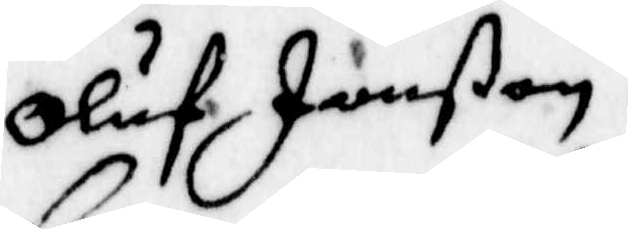Oluf Jonßon,
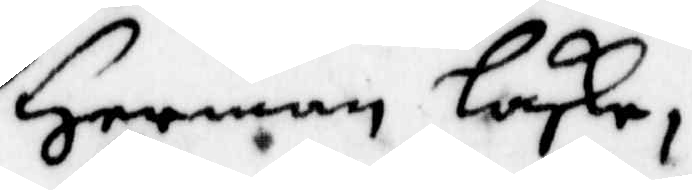Herman Laske,
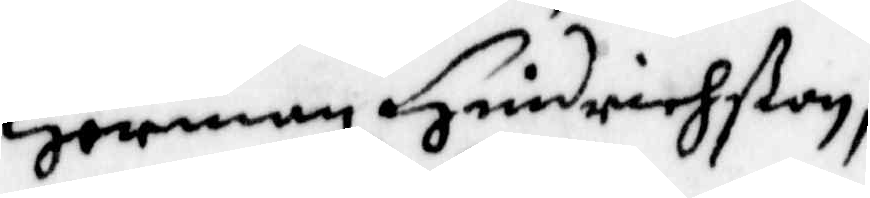Herman Hindrichßon,
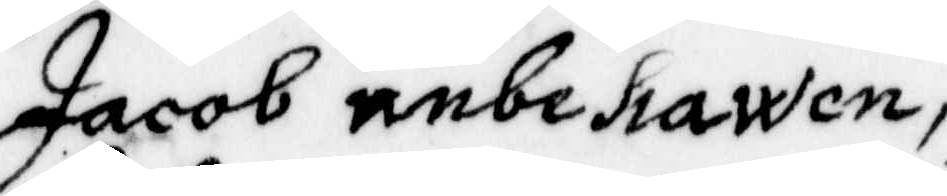Jacob unbehawen,
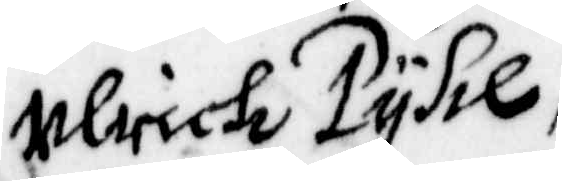Ulrich Pyhl,
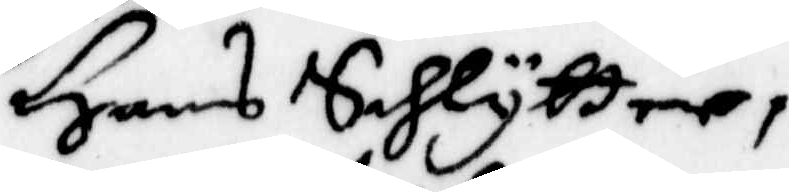Hans Sahlytter,
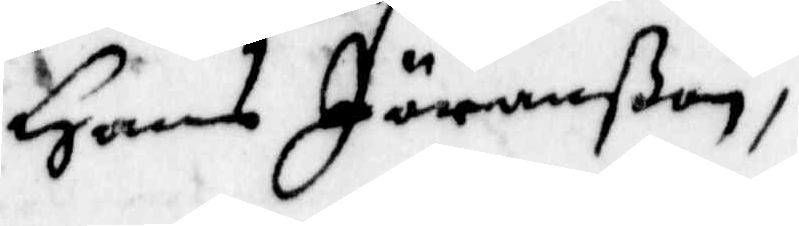Hans Jöranßon,
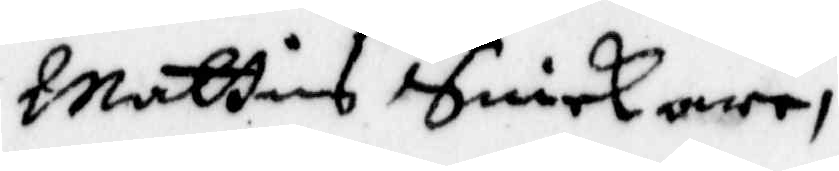Matties Snickare,
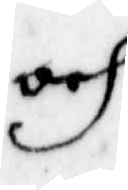och
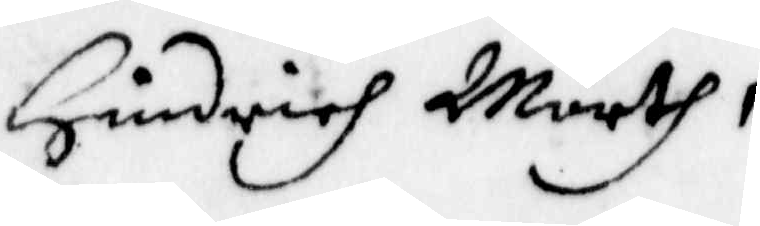Hindrich Mörth,
